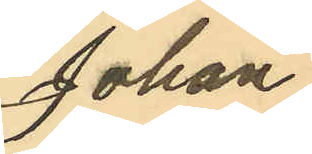Johan
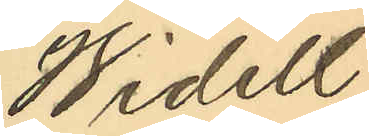Widell
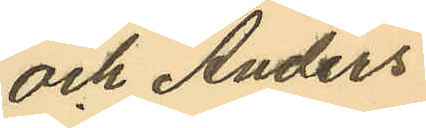och Anders
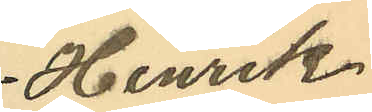Henrik
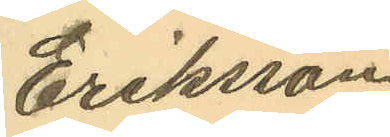Eriksson
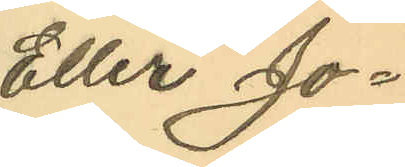Eller Jo¬
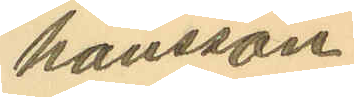hansson.
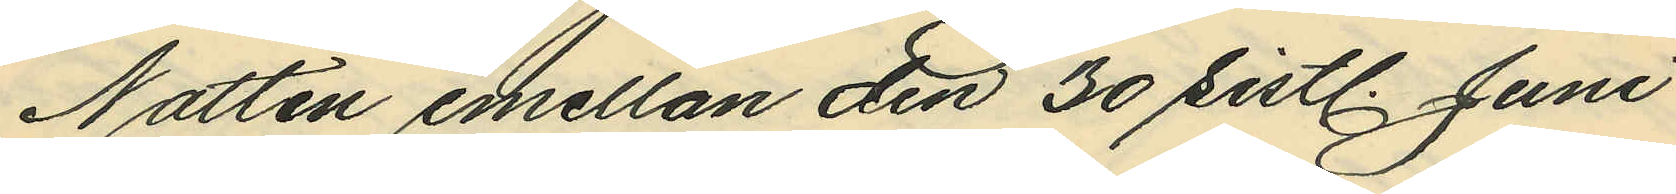Natten emellan den 30 sistl. Juni
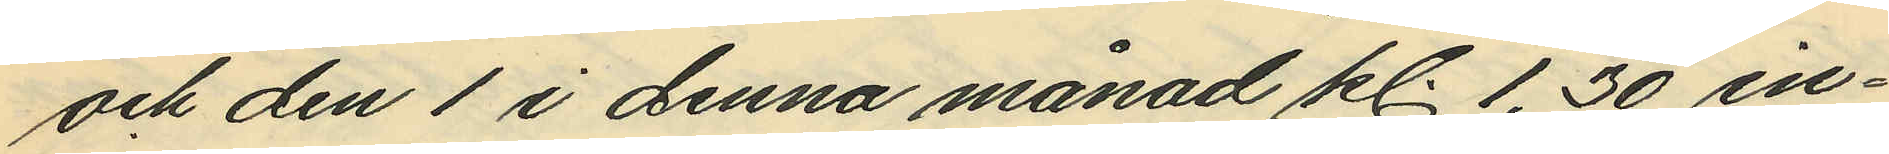och den 1 i denna månad kl. 1,30 in¬
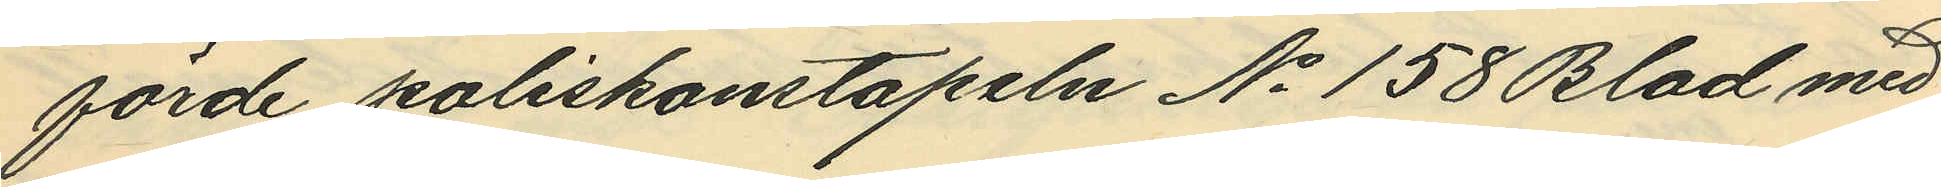förde poliskonstapeln No 158 Blad med
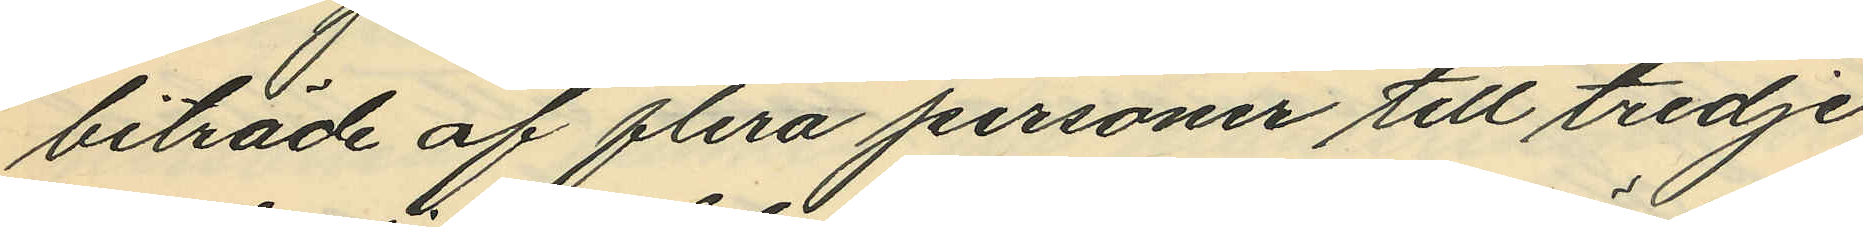biträde af flera personer till tredje
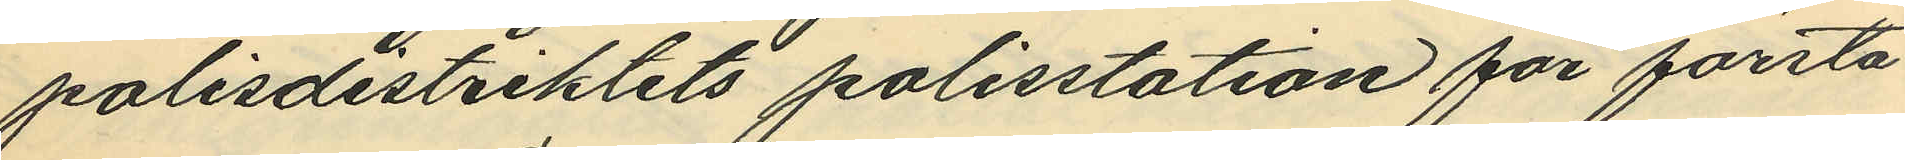polisdistriktets polisstation för första
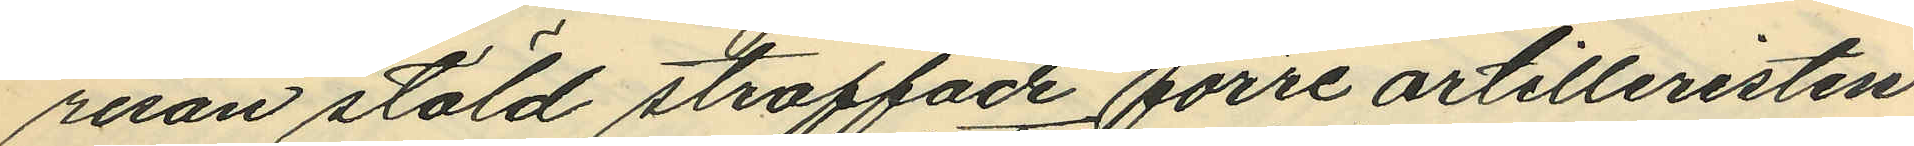resan stöld straffade förre artilleristen
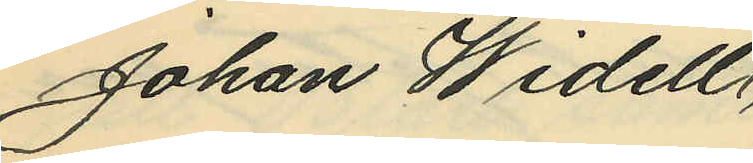Johan Widell
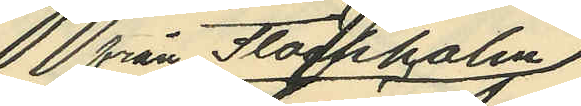från Stockholm,
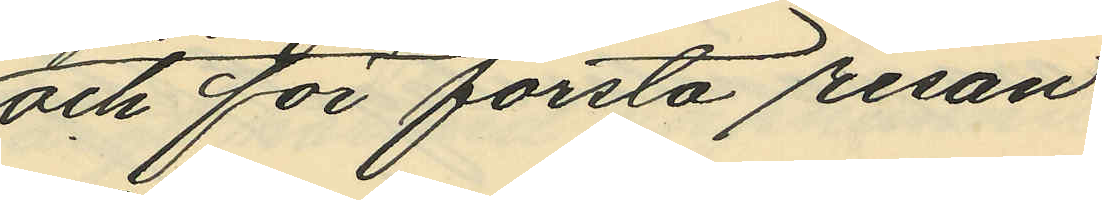och för första resan
